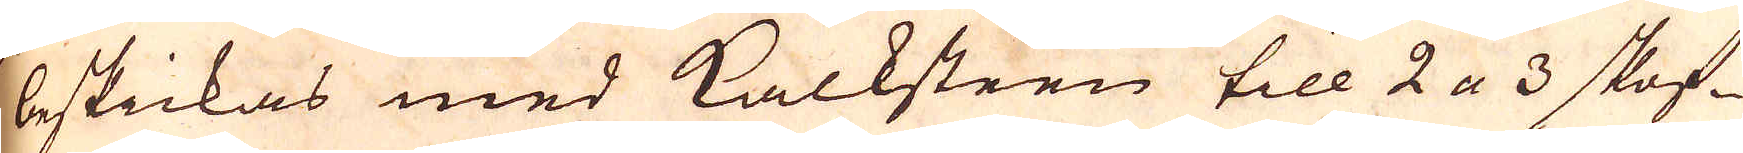beskickas med kalksteen till 2 a 3 skof-
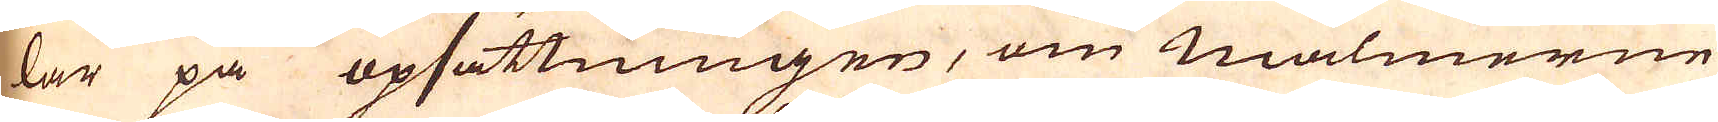lar på opsättningen, om malmerne
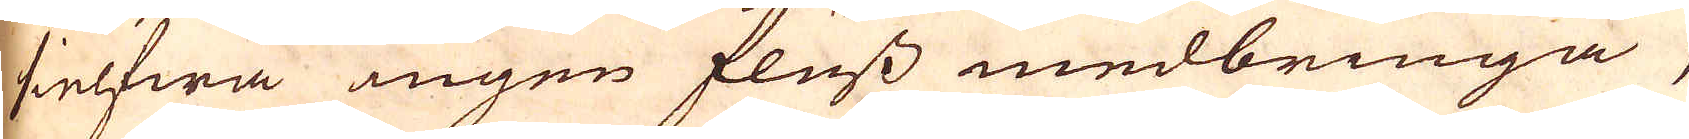sielfwa ingen fluss medbringa,
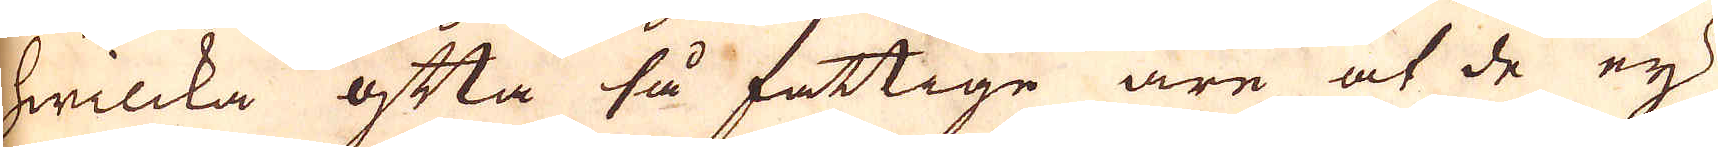hwilcka ofta så fattige äre at de ej
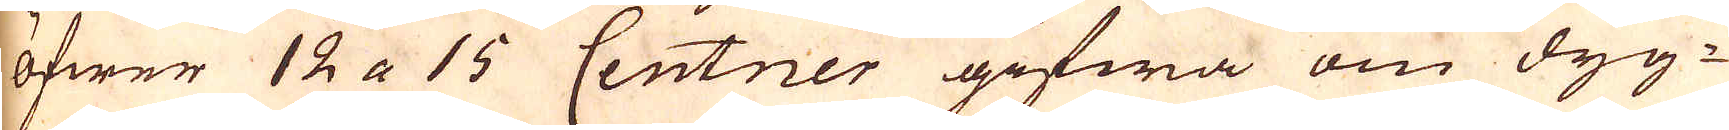öfwer 12 a 15 Centner gifwa om dyg-
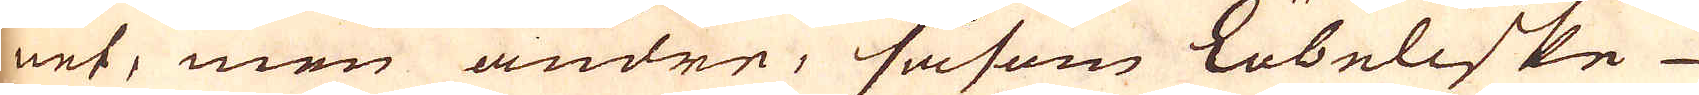net, men andre, såsom Lübeliske
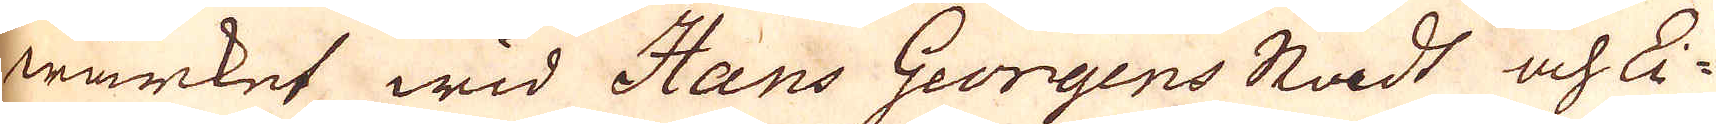wärket wid Hans Georgens Stadt och Ei-
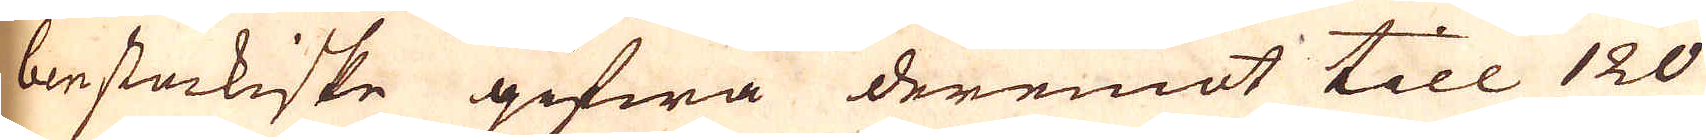benstackiske gifwa deremot till 120
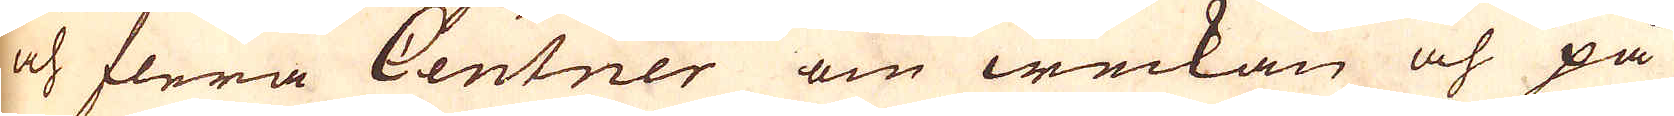och flera Centner om weckan och på
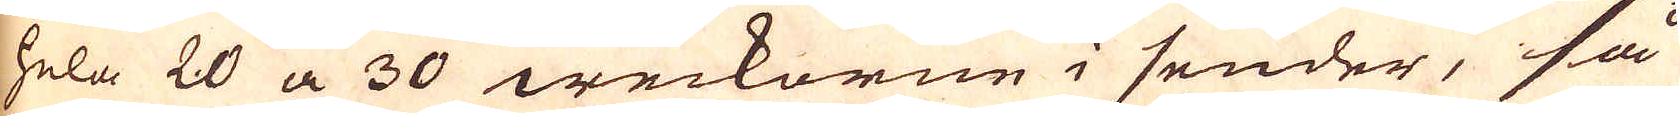hela 20 a 30 weckorne i sender, så
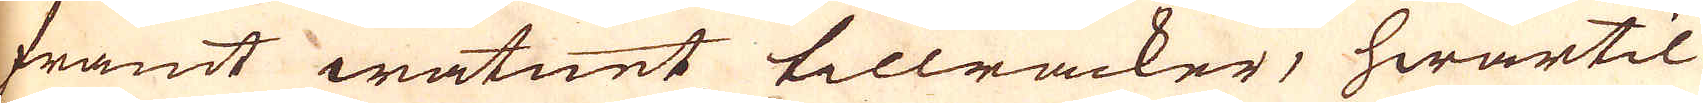framt watnet tillräcker, hwartil
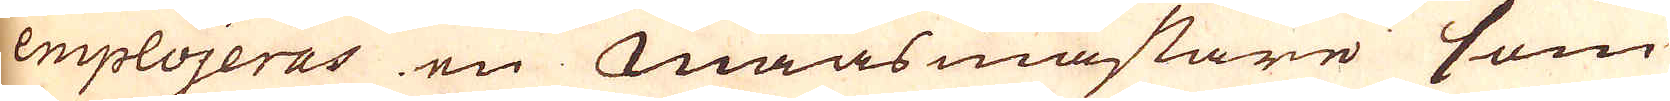emplojeras en Maasmästare som
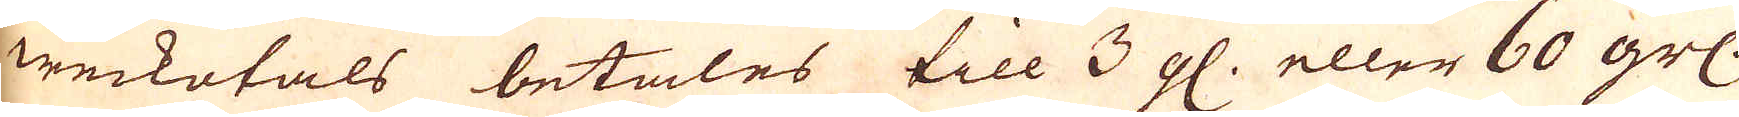weckotals betales till 3 gl. eller 60 grs.
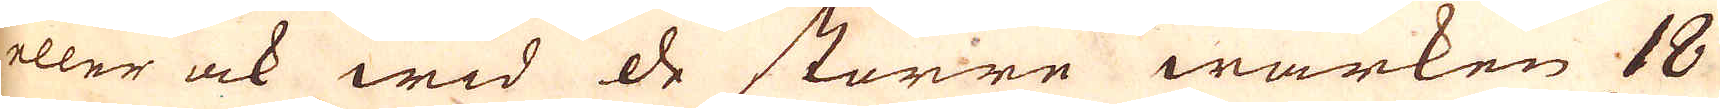eller ock wid de större wärken 18
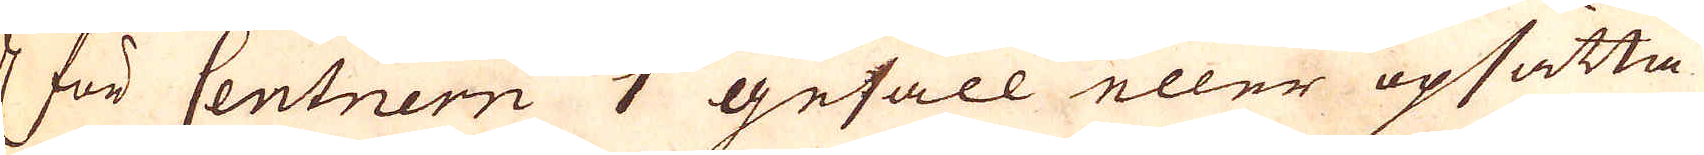dr för Centnern 1 gesäll eller upsätta-
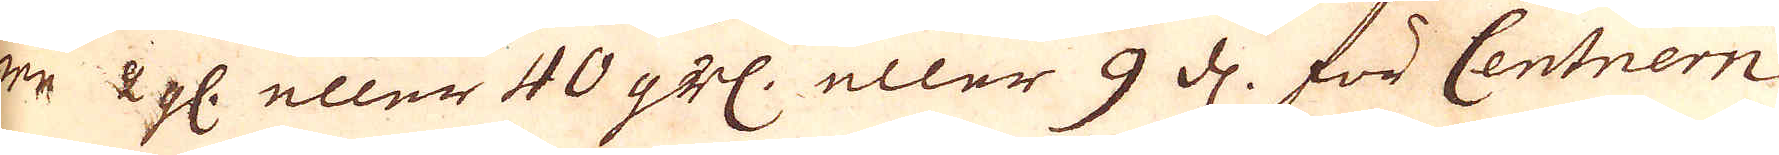re 2 gl. eller 40 grs. eller 9 d. för Centnern
